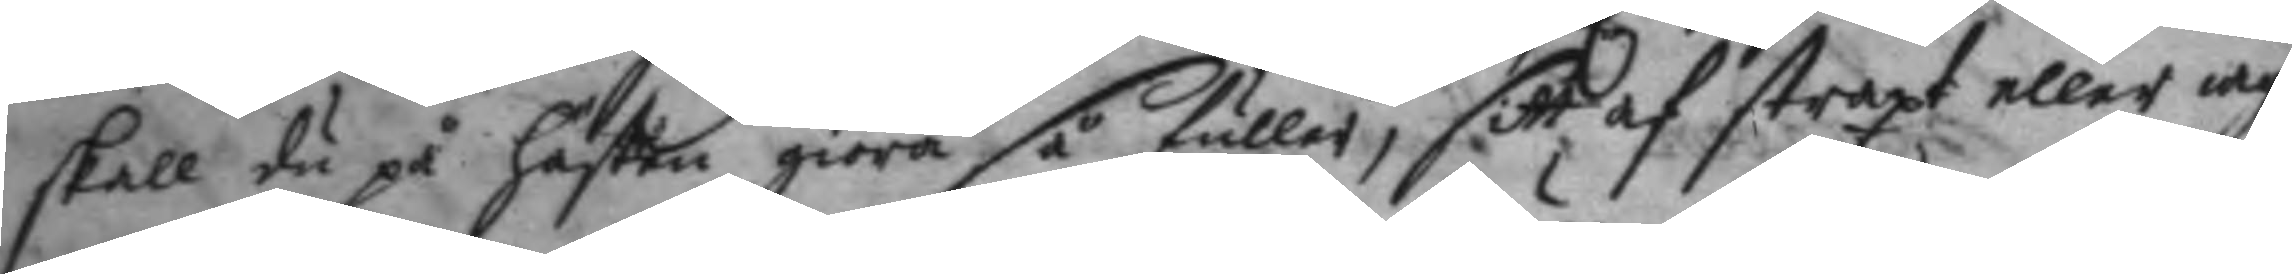skall du på hästen giöra så fuller, sitt af straxt eller iag
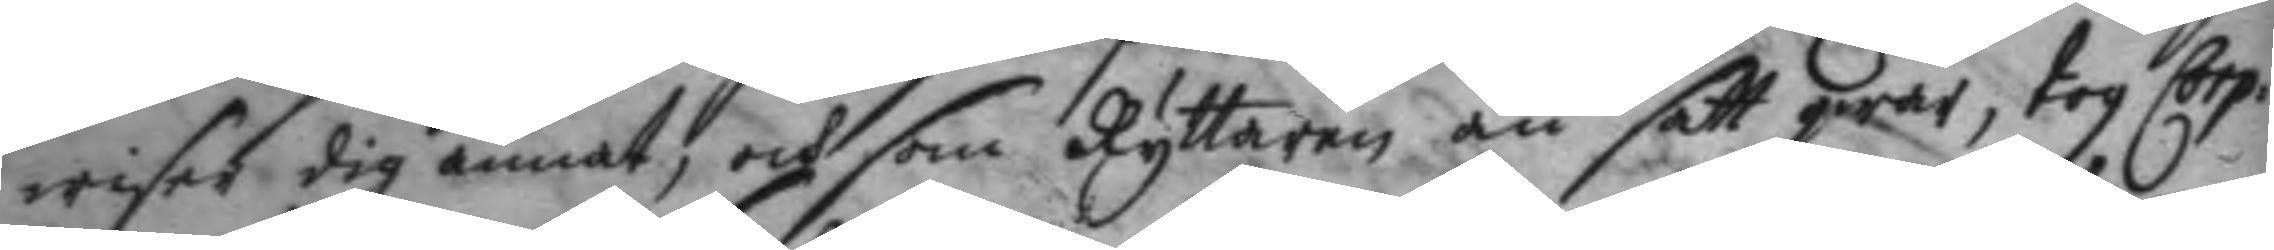wisar dig annat, och som Ryttaren än satt qwar, tog Corp:
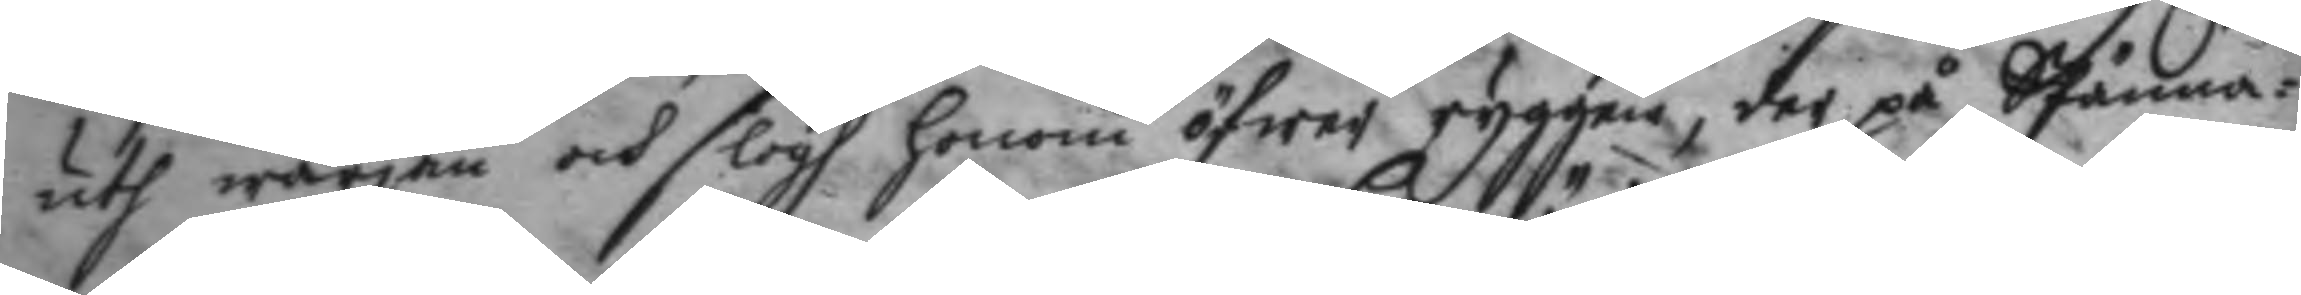uth wärjan och slogh honom öfwer ryggen, der på Spänna¬
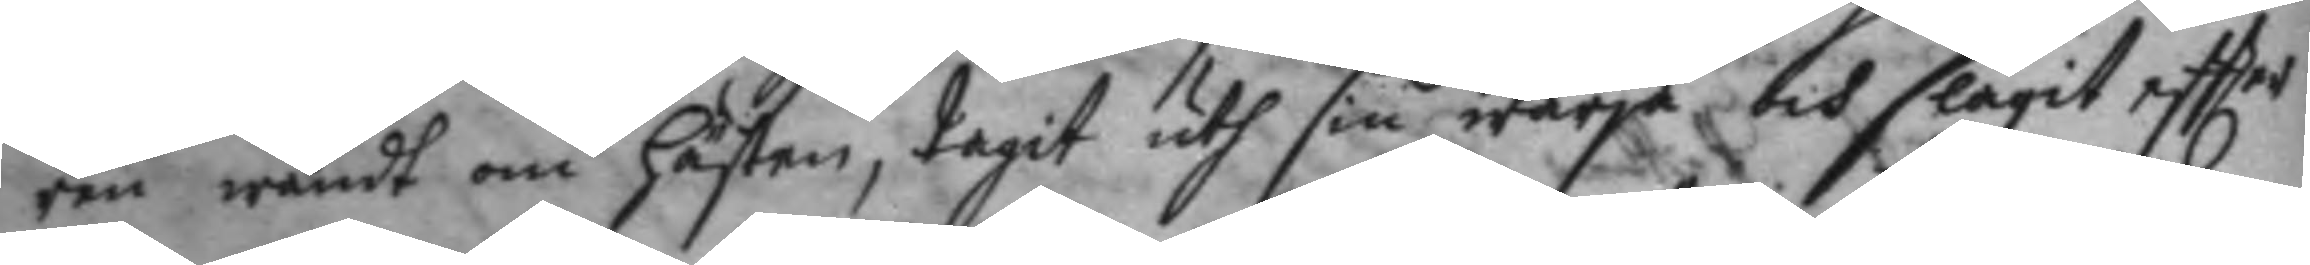ren wändt om hästen, tagit uth sin wärja och slagit eftter
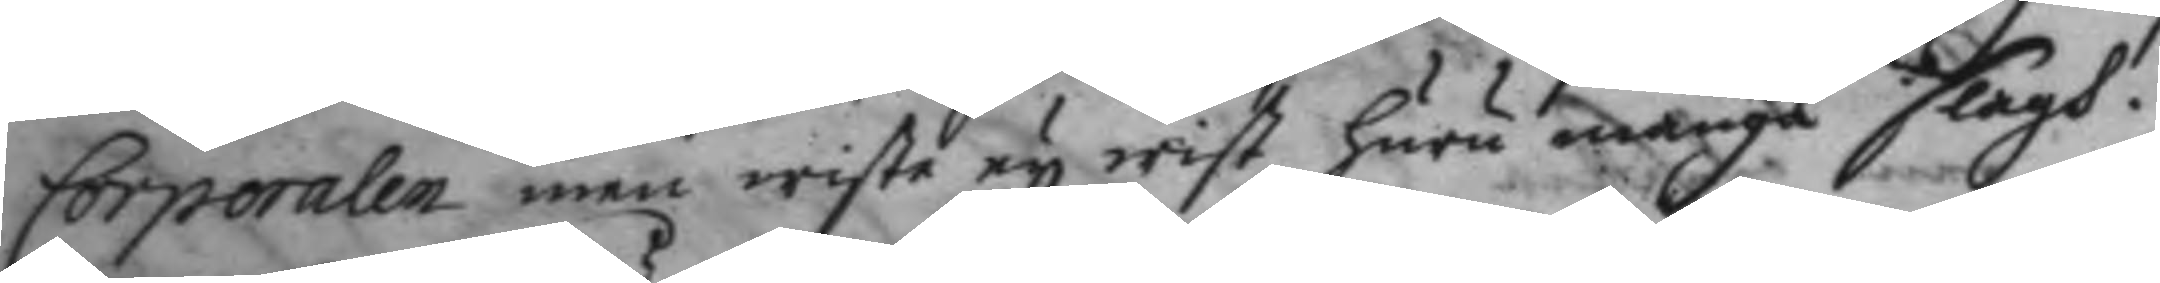Corporalen men wiste ey wist huru många slagh.
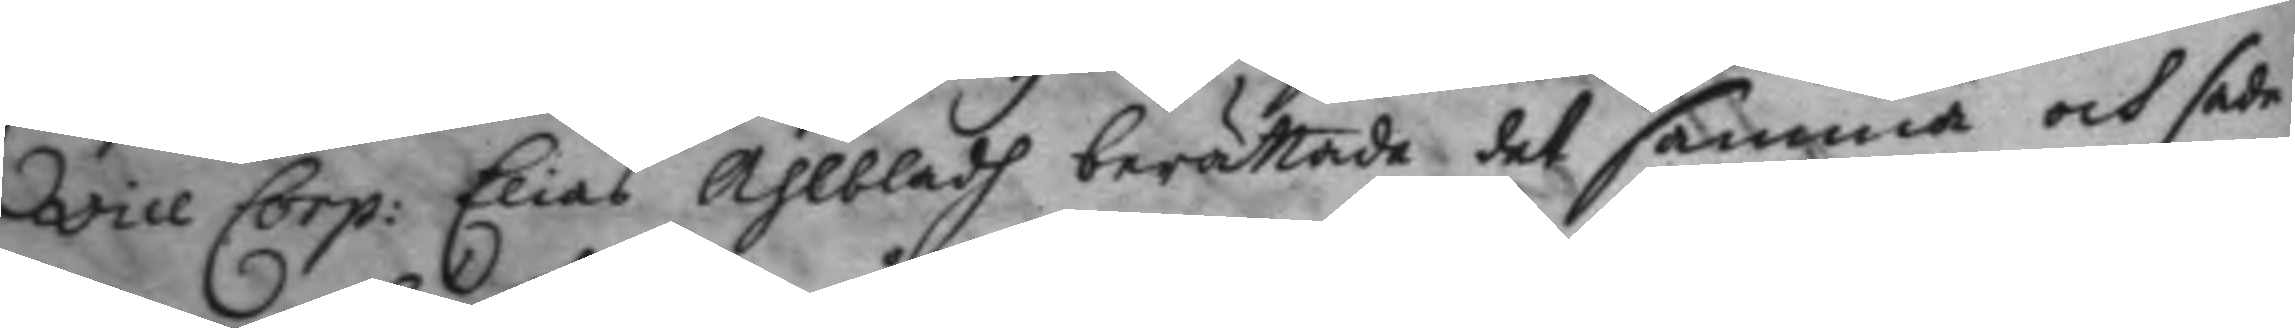vice Corp: Elias Ahlbladh berättade det samma och sade
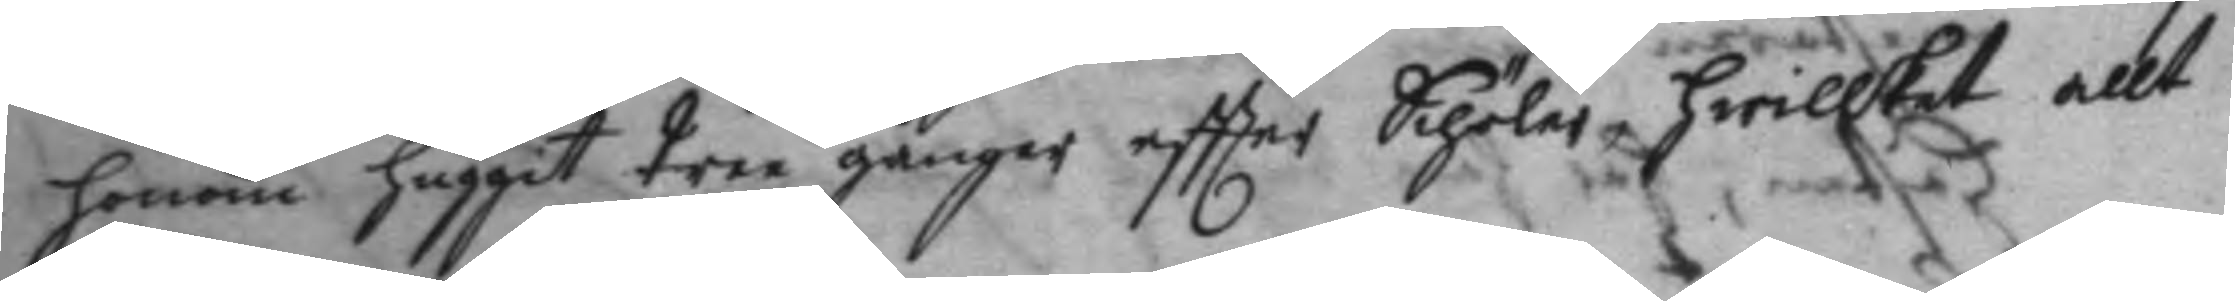honom huggit tree gånger eftter Schöler, hwilket allt
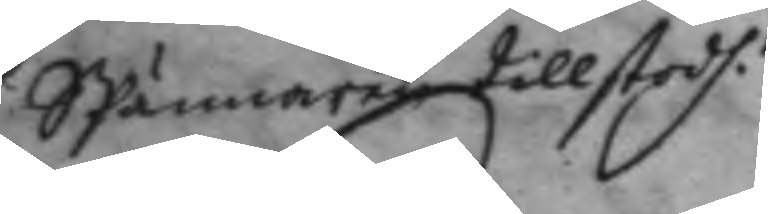SPännare tillstodh.
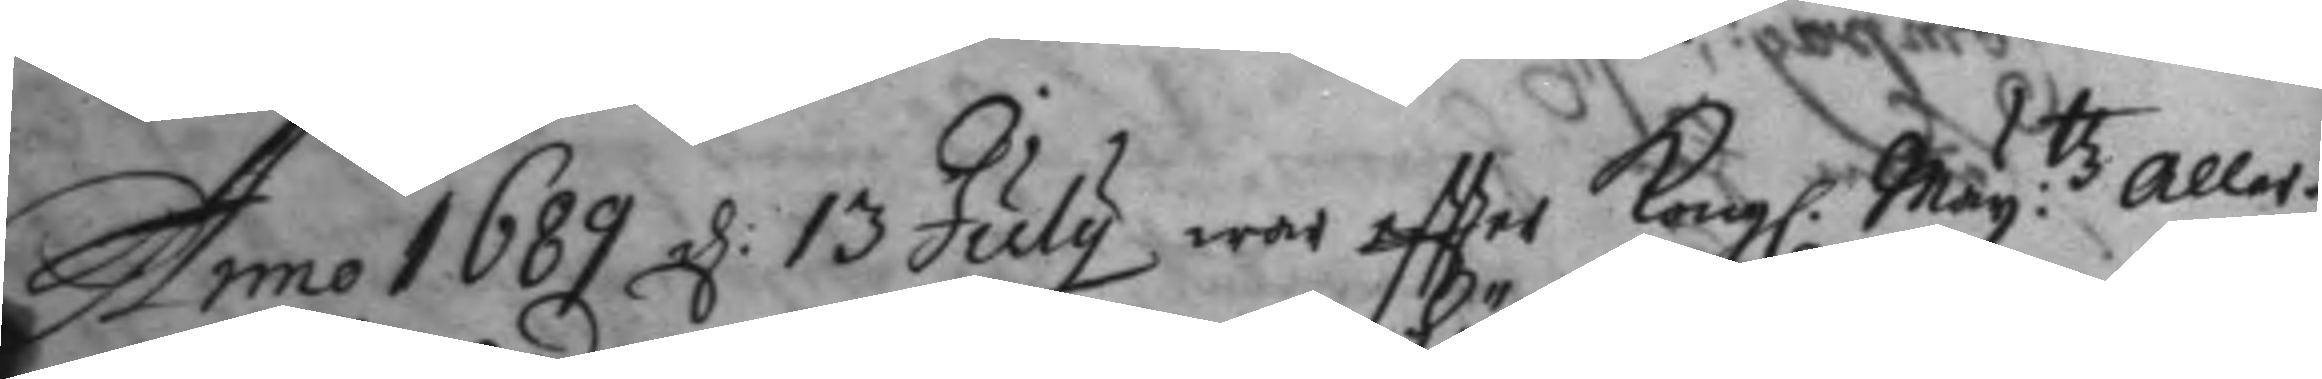Anno 1689 d: 13 July war eftter Kongl. May:ttz aller¬
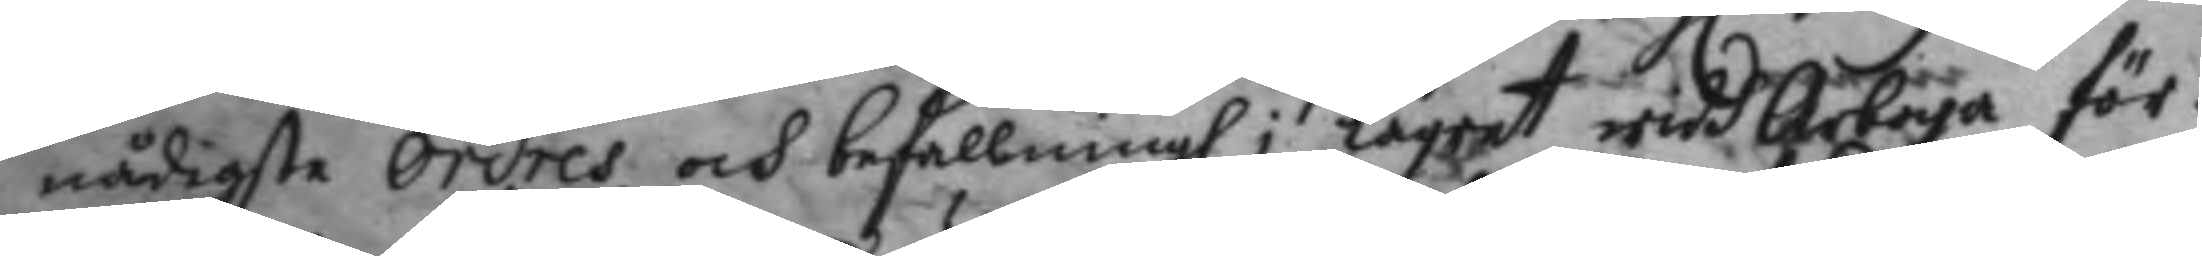nådigste Ordres och befallningh i lägret widd Arboga för
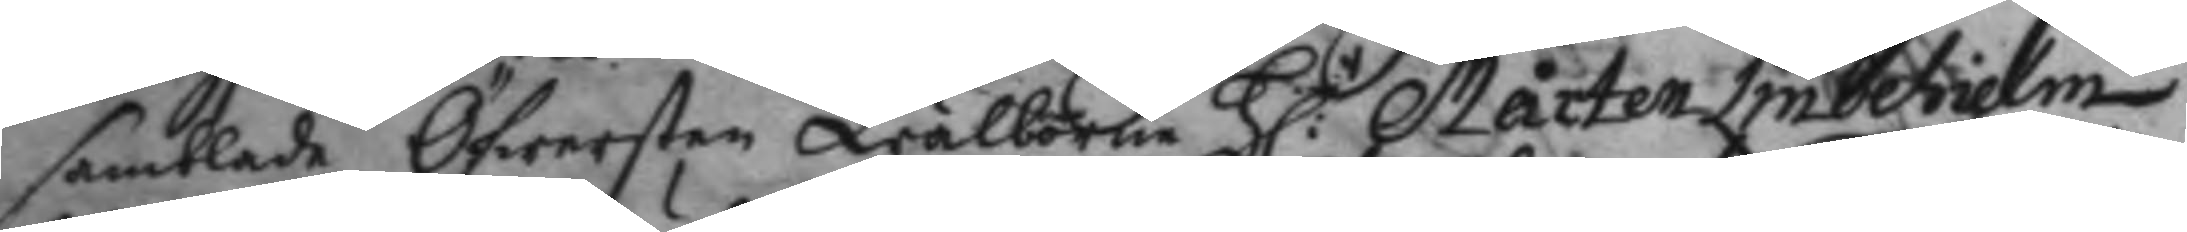samblade Öfwersten Wälborne H:r Mårten Lindehielm
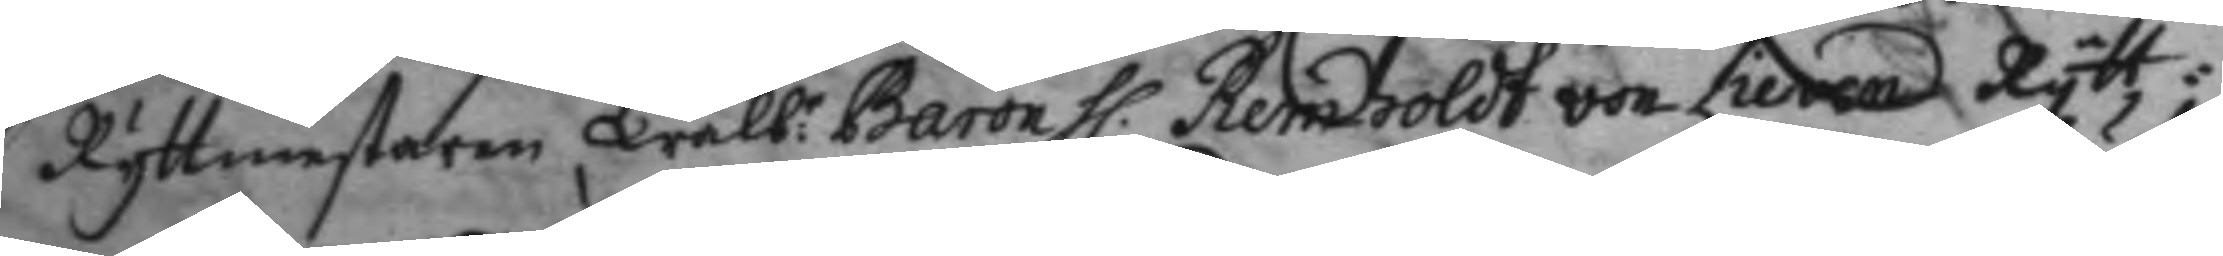Rytmestaren Wälb:e Baron H. Reinholdt von Lieven Rytt¬
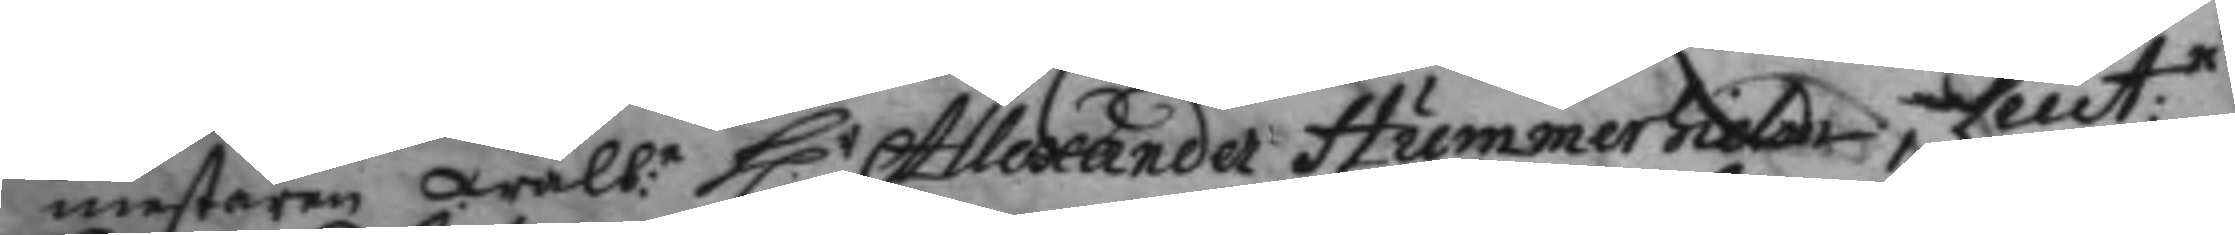mestaren Wälb:e H.r Allexander Hummerhielm, Leut:n
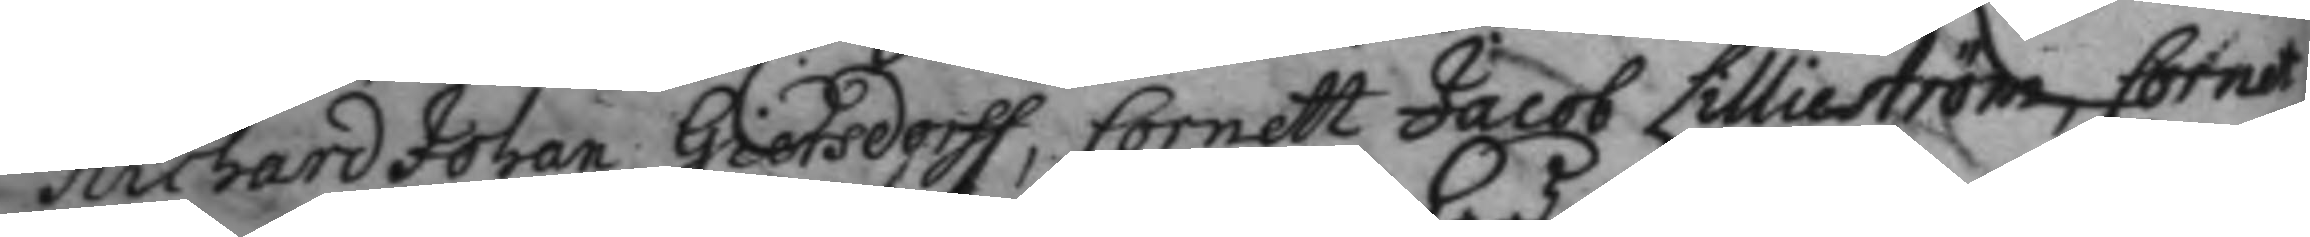Richard Johan Gietsdorff, Cornett Jacob Lillieström, Cornet
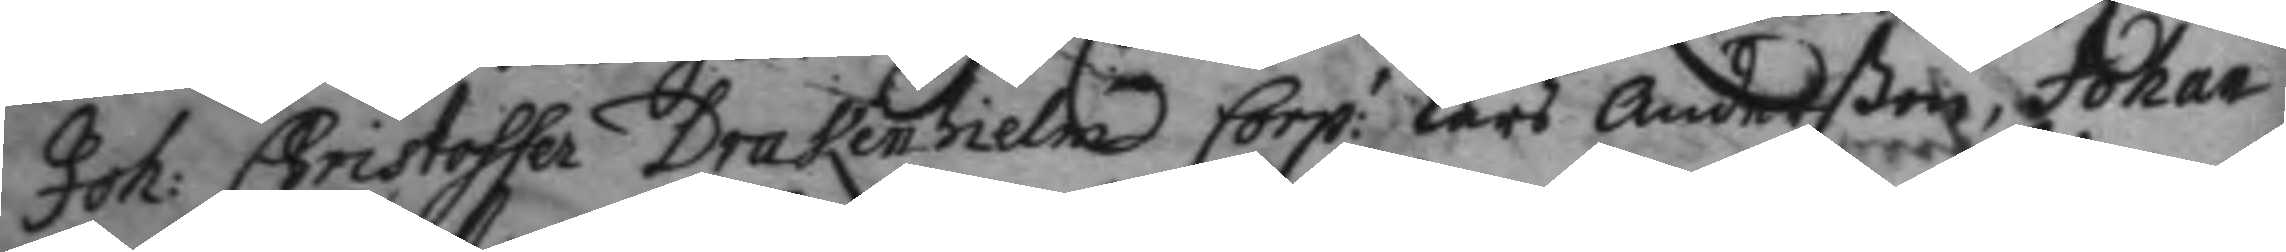Joh: Christoffer Drakenhielm Corp: Lars Anderßon, Johan
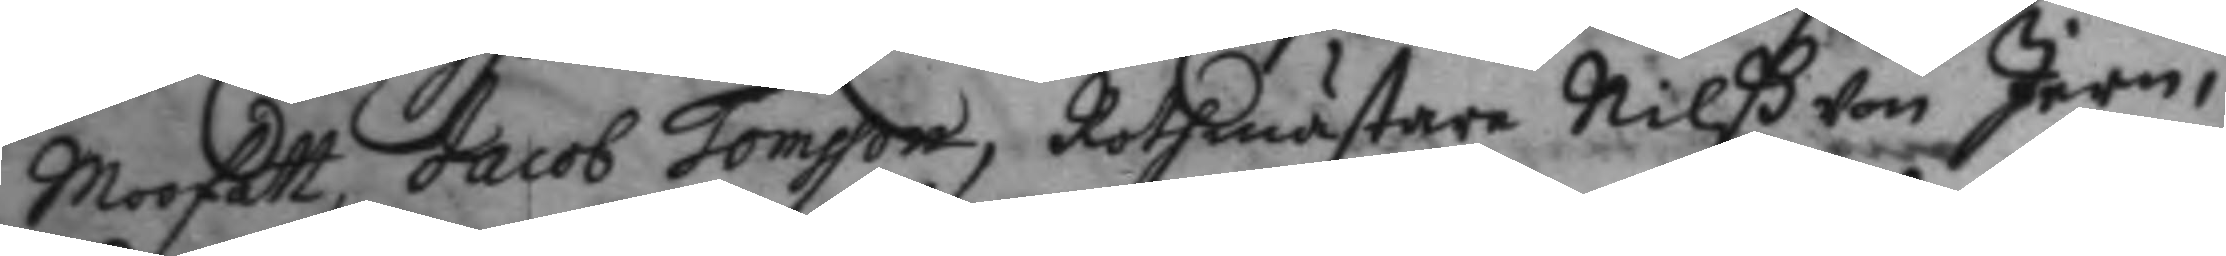Moofatt, Jacob Tomsson, Rothmästare Nilß von Jern,
